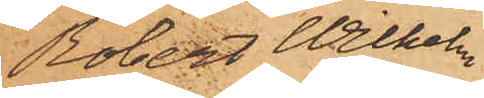Robert Wilhelm
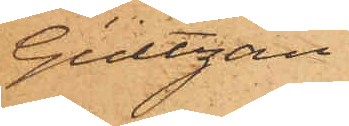Gültzau
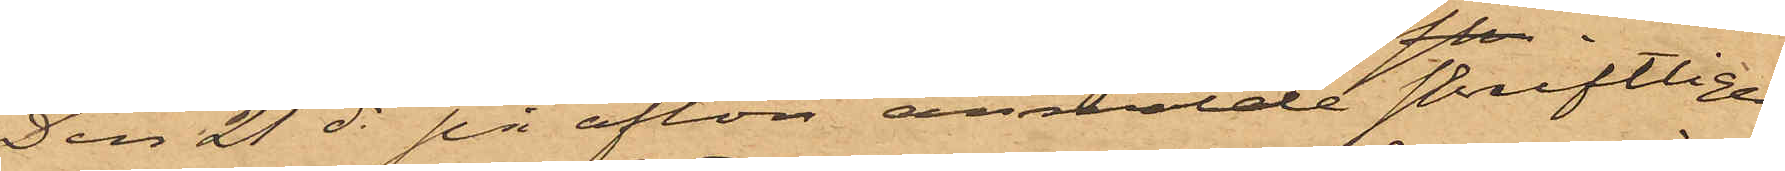Den 21 ds på afton anmälde skriftligen
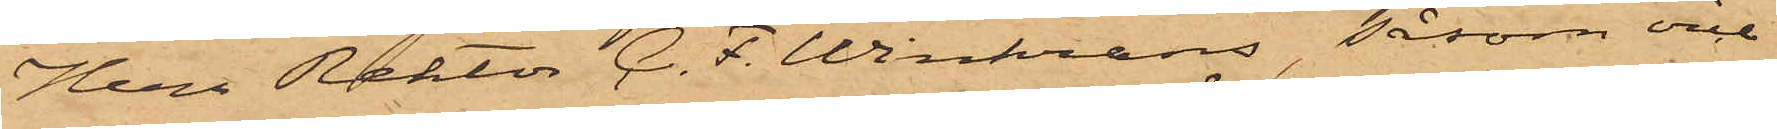Herr Rektor C. F. Winkrans, såsom vice
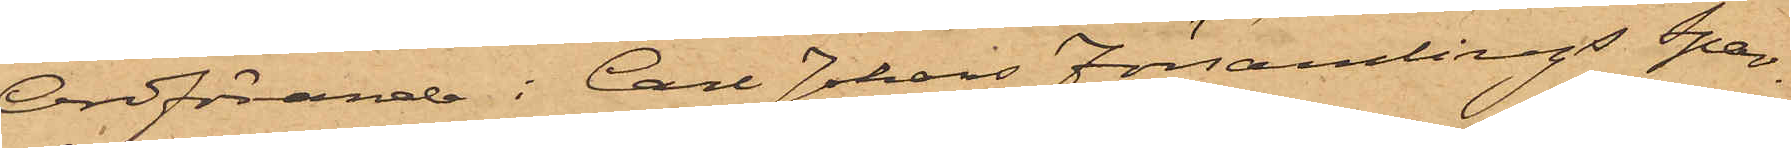Ordförande i Carl Johans Församlings Spar¬
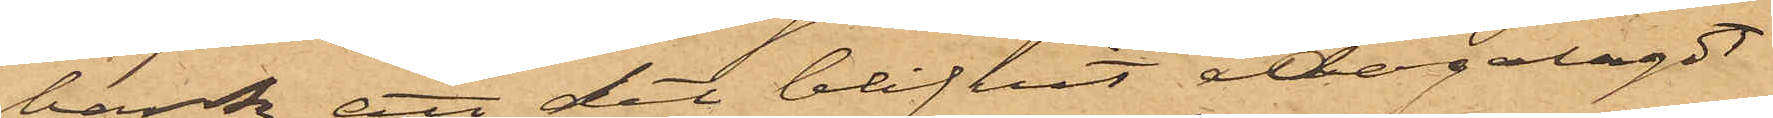bank, att det blifvit ådagalagdt
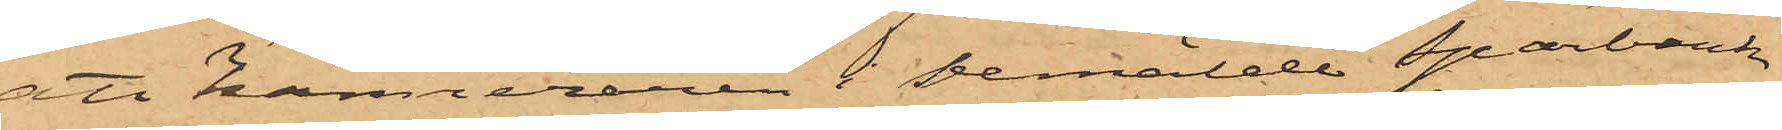att Kamreraren i bemälde Sparbank
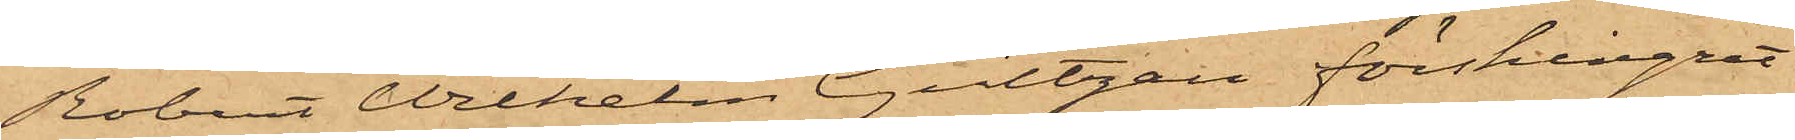Robert Wilhelm Gültzau förskingrat
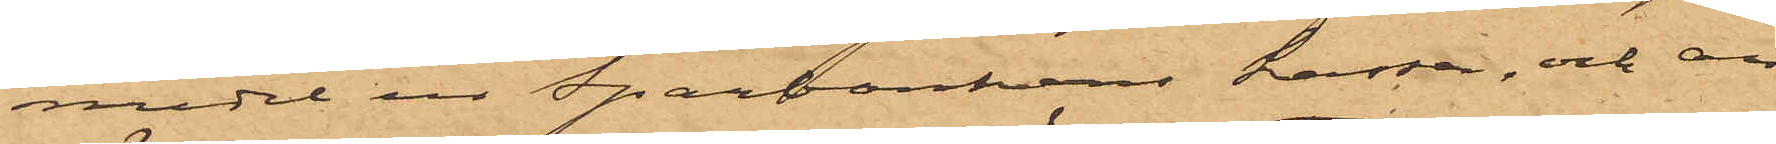medel ur Sparbankens kassa, och an¬
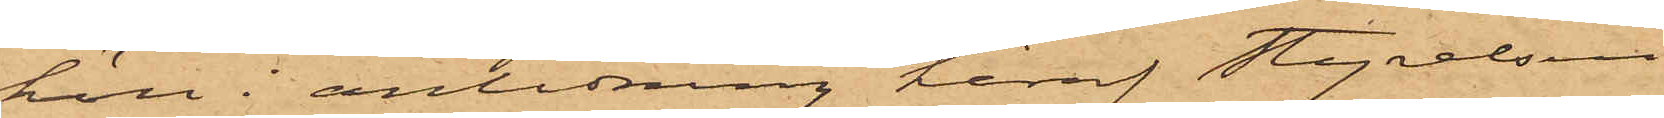höll i anledning heraf Styrelsen
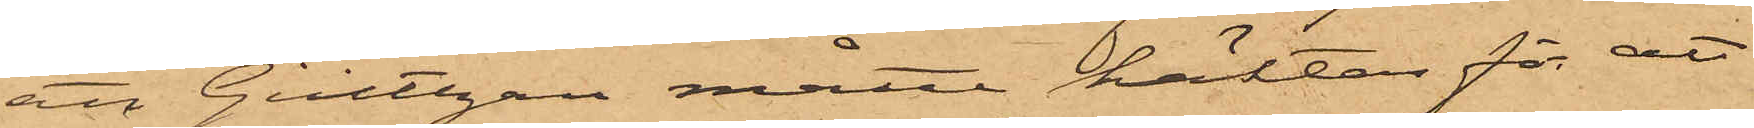att Gültzau måtte häktas för att
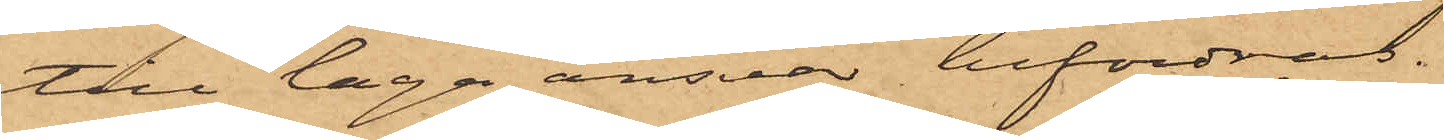till laga ansvar befordras.
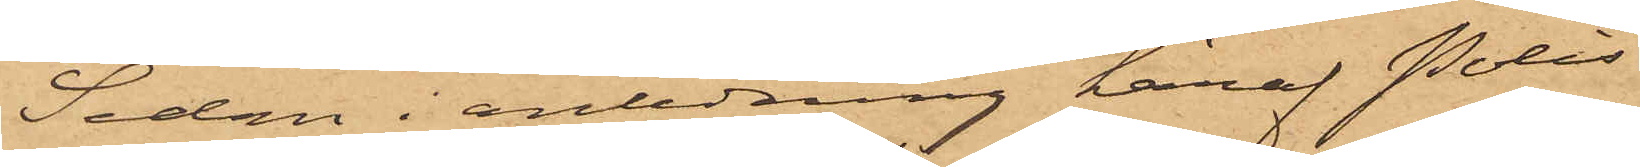Sedan i anledning häraf Polis¬
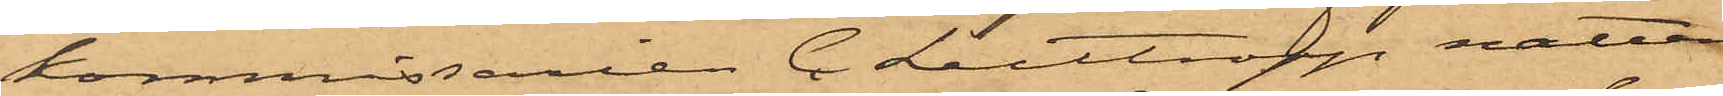kommissarien C. Luttropp natten
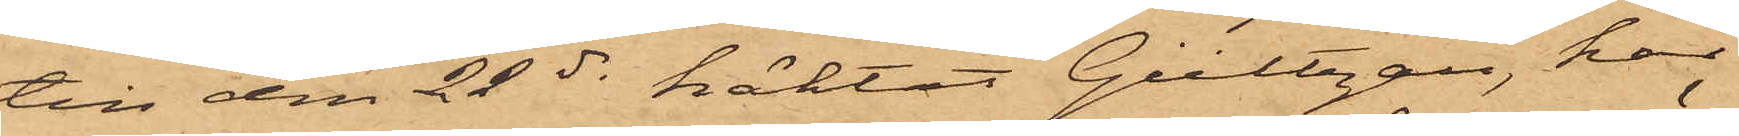till den 22 ds häktat Gültzau, har
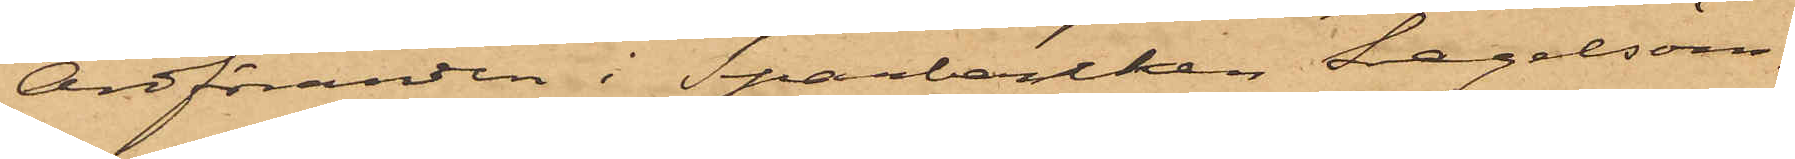Ordföranden i Sparbanken, Segelsöm¬
